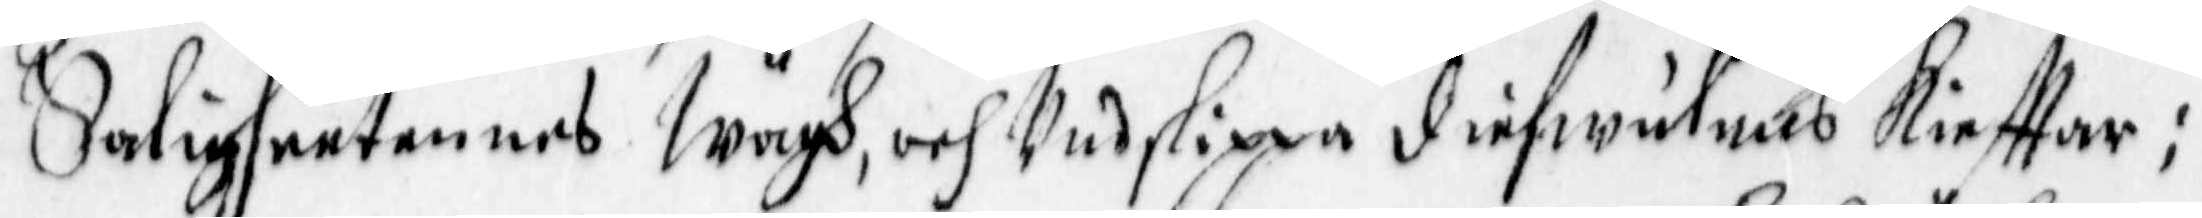Saligheetennes Wägh, och undslippa diefwulens Kiefftar;
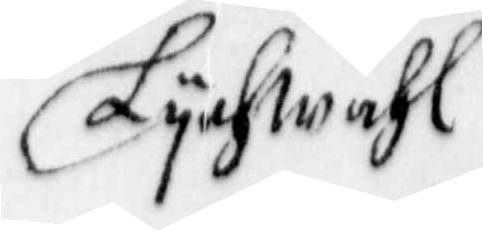Lychwähl
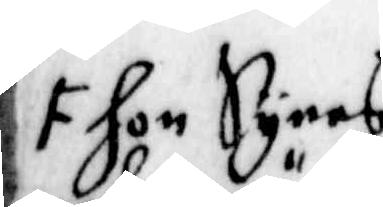F hon Synes
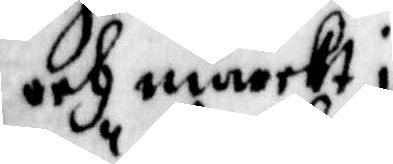och märckt i
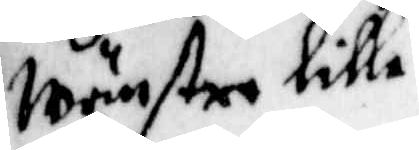wänstre lilla
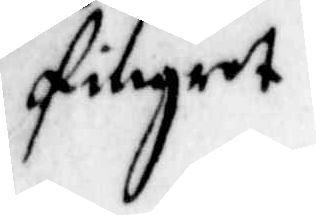fingret
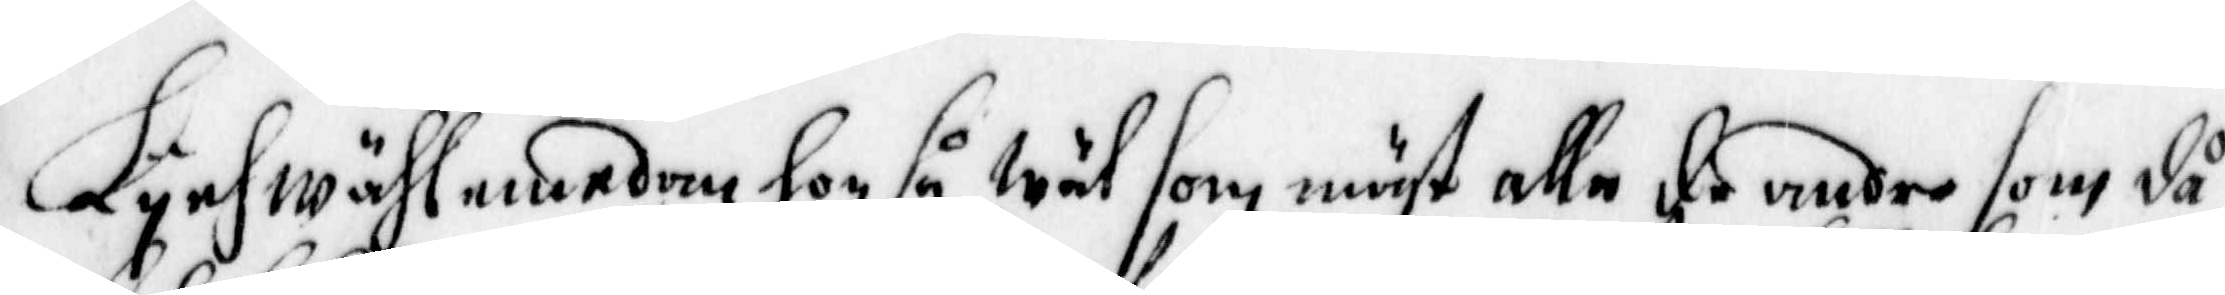Lychwähl emedan hon så wäl som mäst alle de andre som då
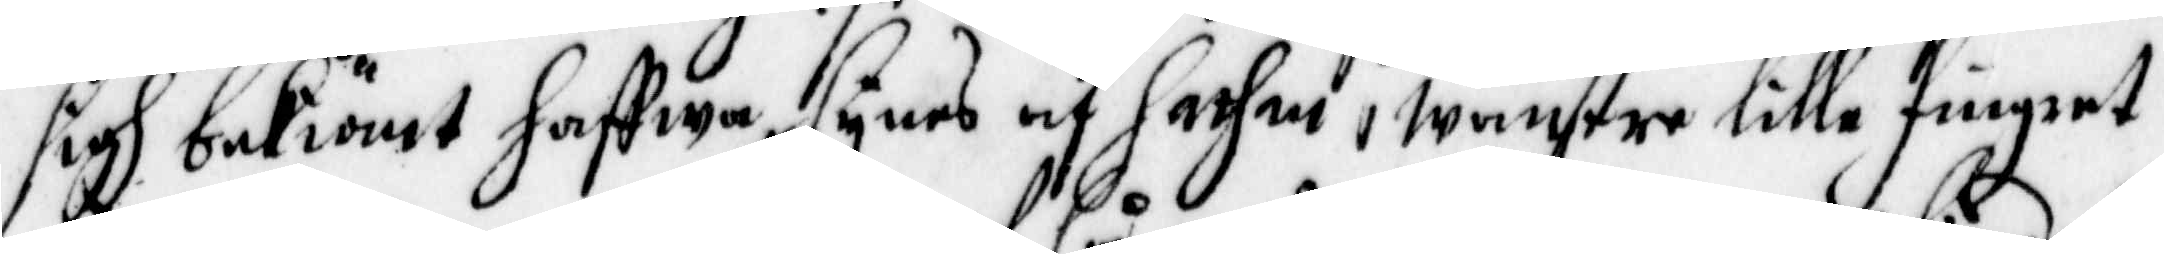sigh bekiänt haffwa synes af Sathan i wänstre lilla fingret
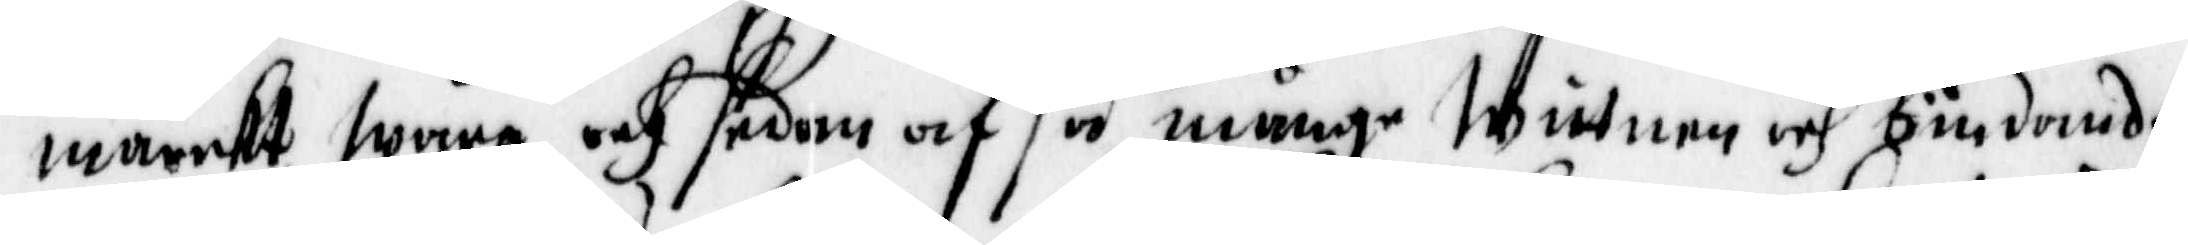märckt wara, och sedan af så månge Wittnen och bindande
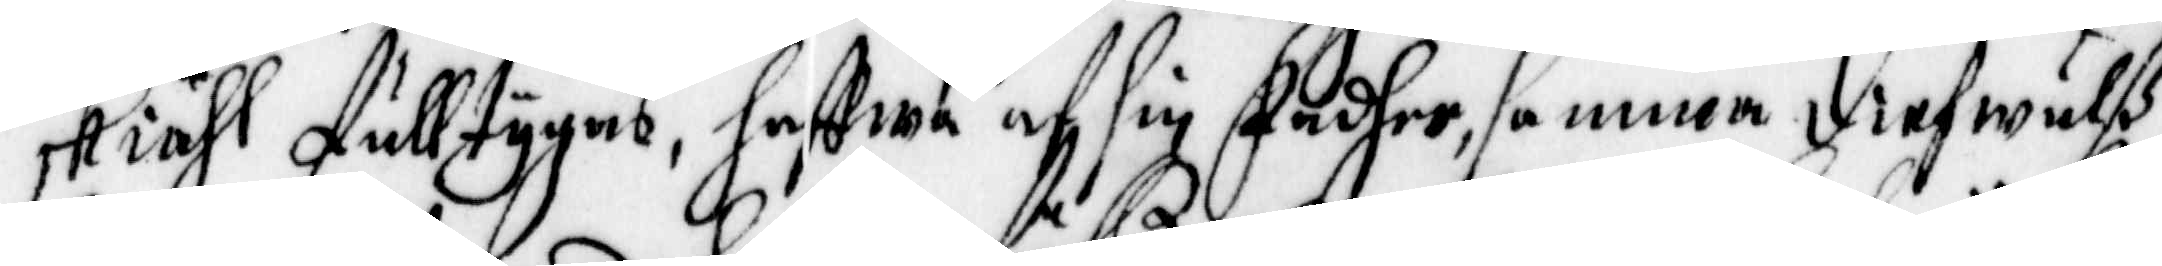skiähl fulltygas, haffwa af sin Fadher, samma Diefwulß
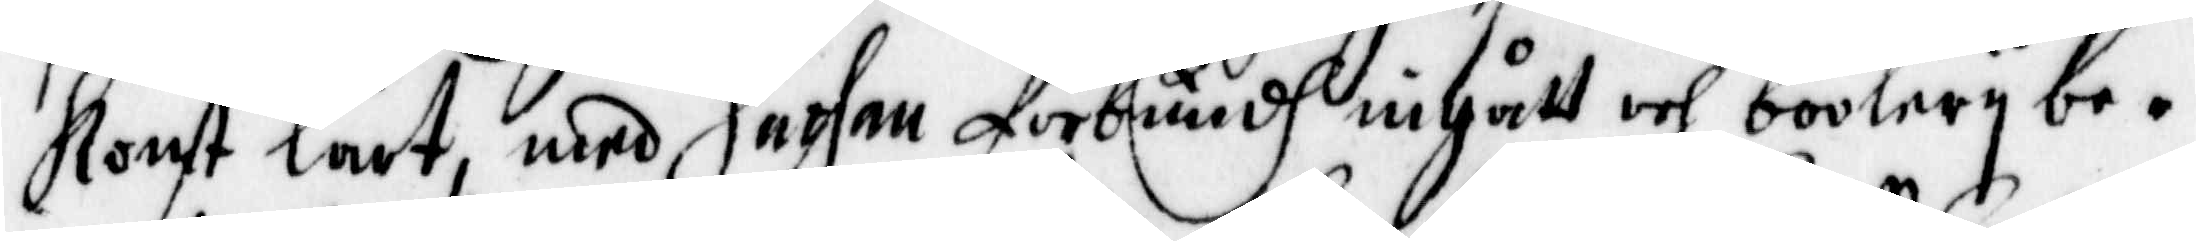Konst lärt, med Sathan förbundh ingått och boolery be¬
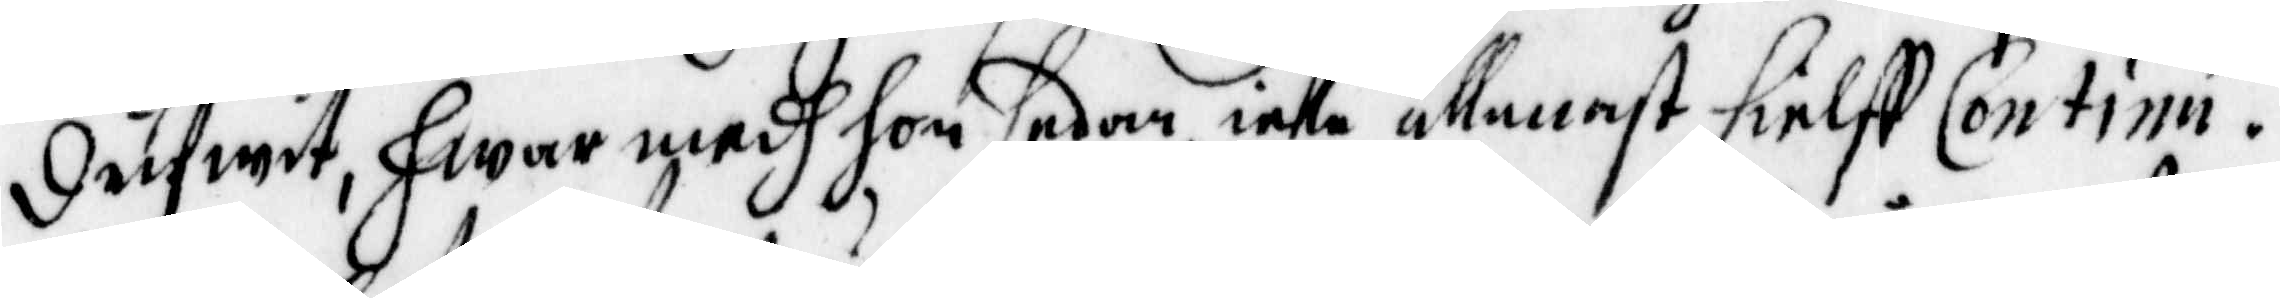Drifwit, hwar medh hon sedan icke allenast sielff Continu¬
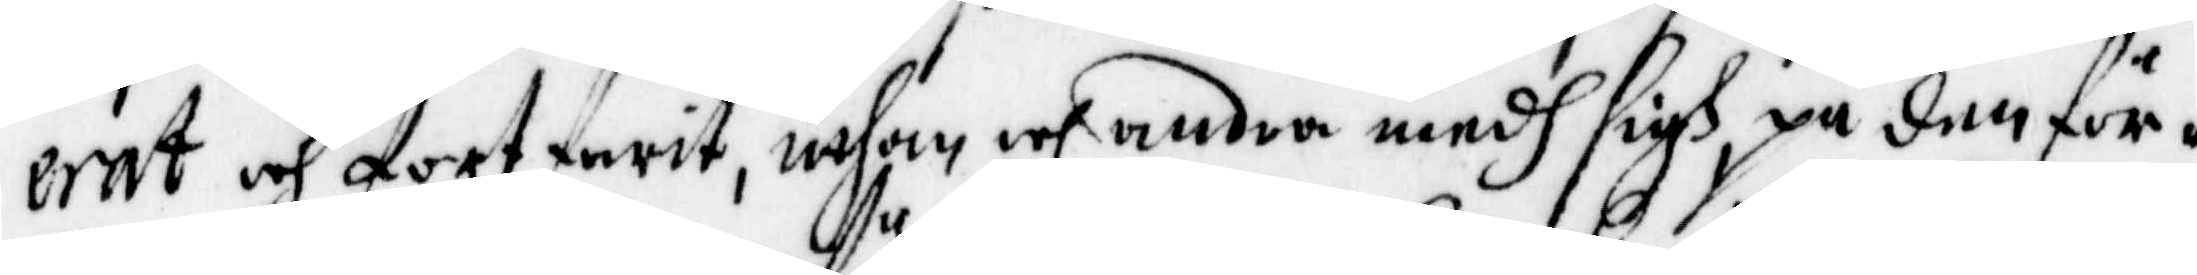erat och fortfarit, uthan och andra medh sigh, på den för¬
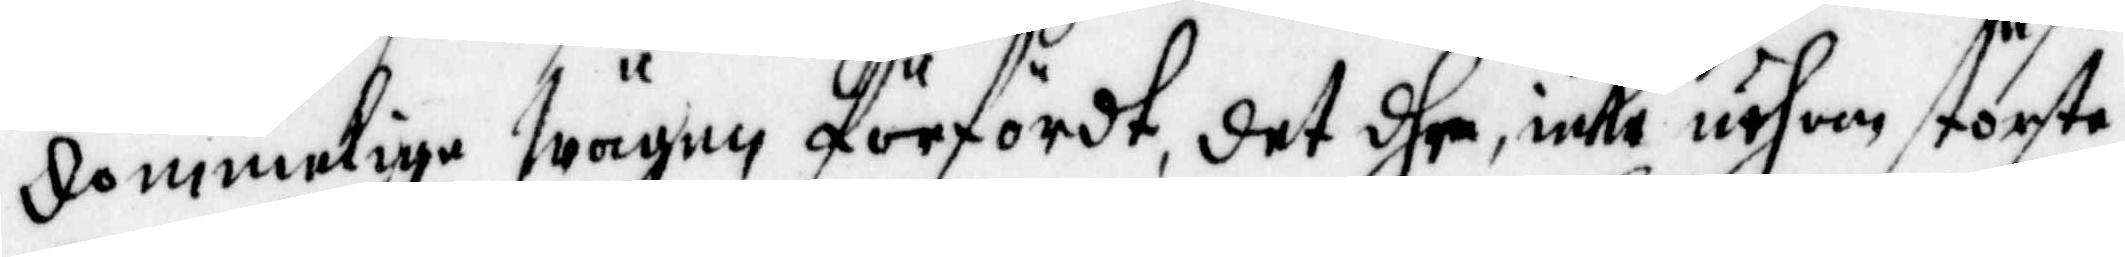Dömmelige wägen förfördt, det dhe, icke uthom störste
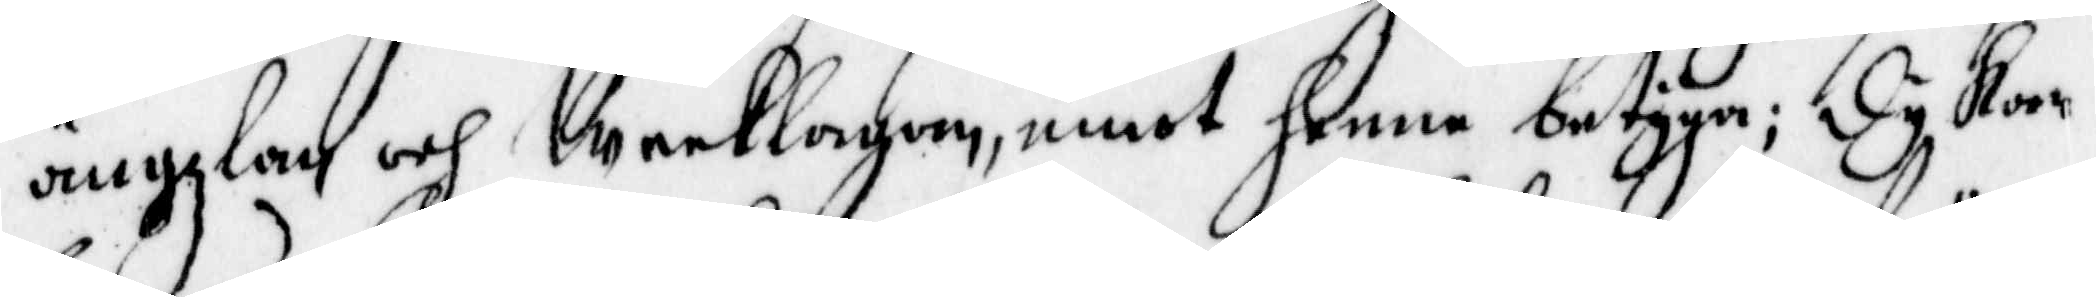ängzlan och Weeklagan, emot henne betyga; Dy kan
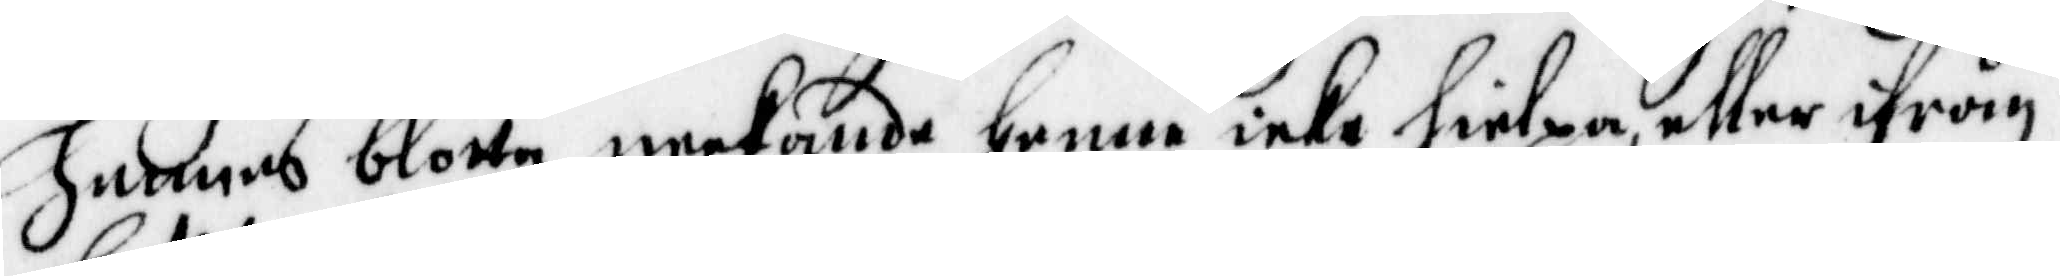hennes blotte neekande henne icke hielpa, eller ifrån
